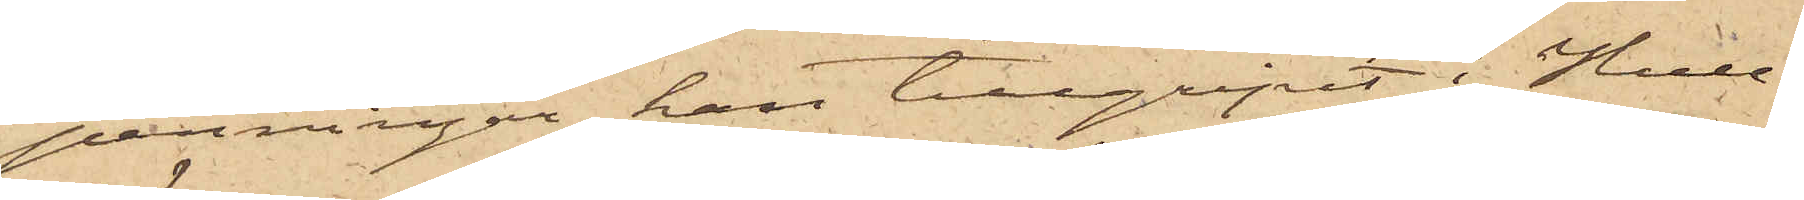penningar han tillgripit i Hull¬
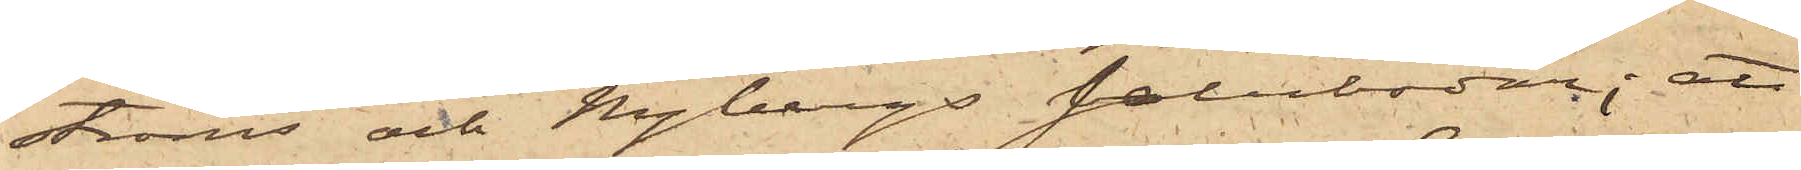ströms och Hagbergs salubodar; att
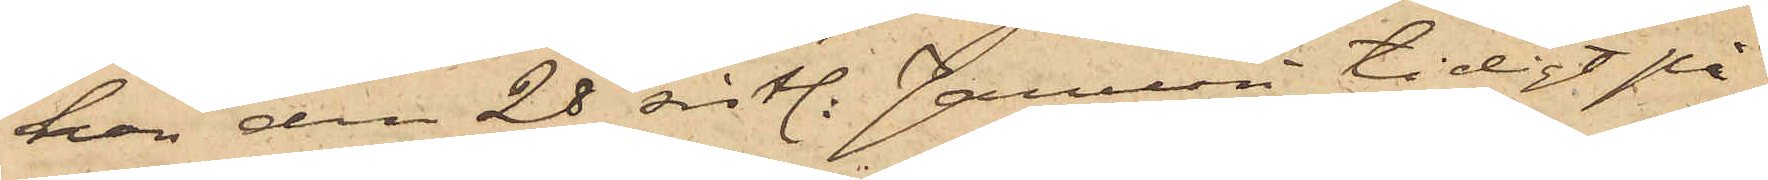han den 28 sistl. Januari tidigt på
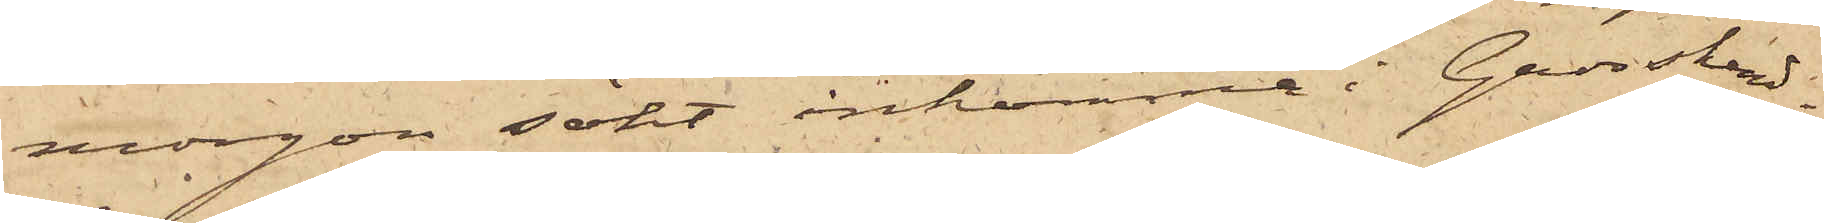morgon sökt inkomma i Grosshand¬
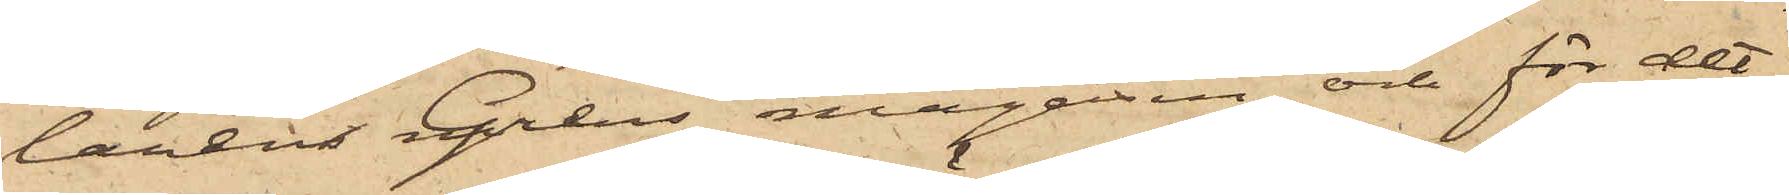landen Grens magasin och för det¬
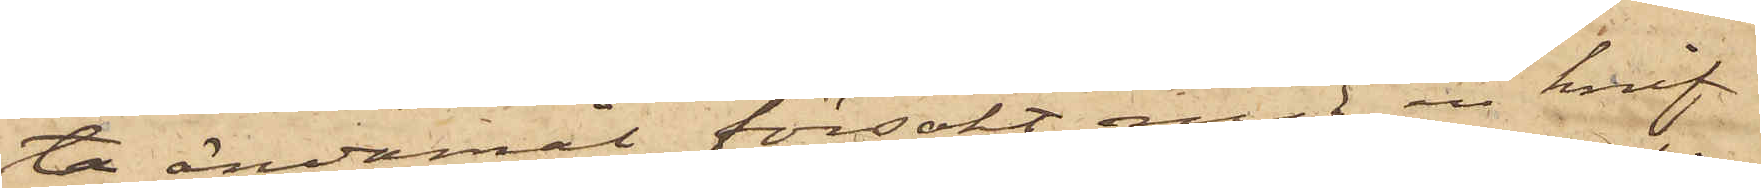ta ändamål försökt med en knif
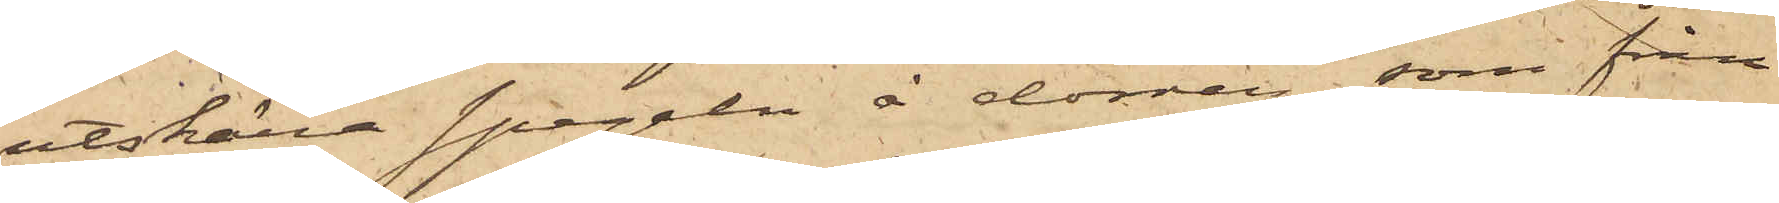utskära spegeln å dörren, som från
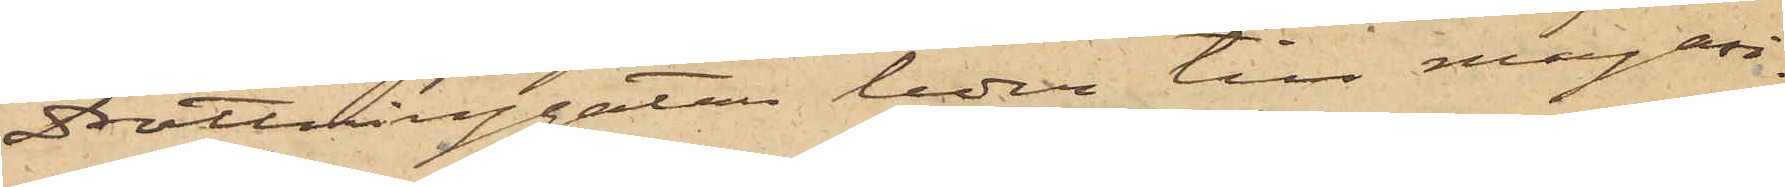Drottninggatan leder till magasi¬
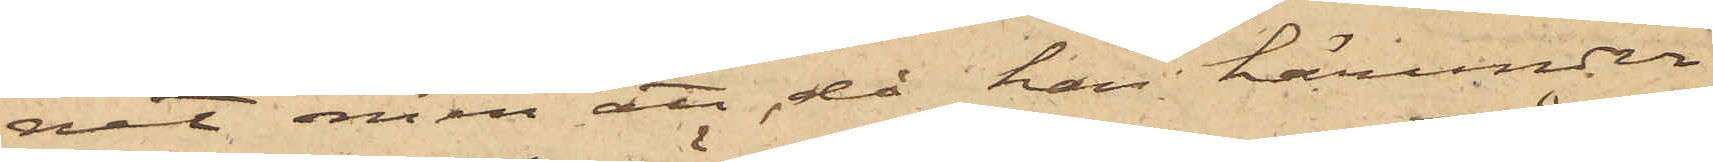net, men att då han härunder
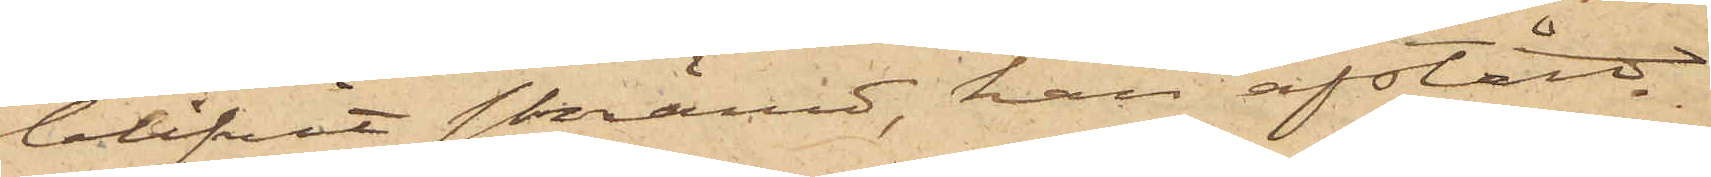blifvit skrämd, han afstått
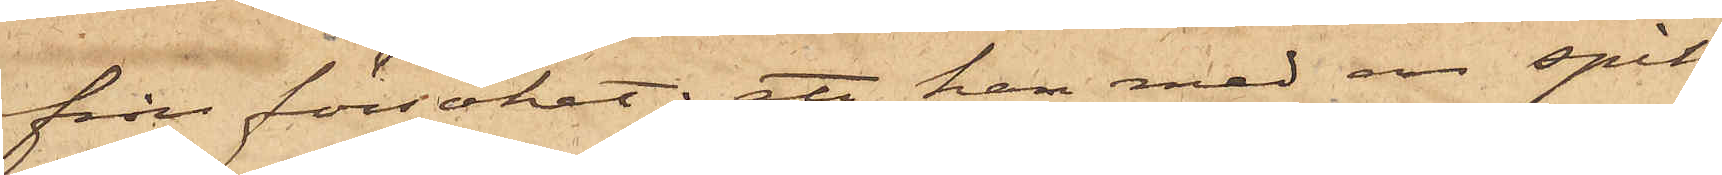från försöket; att han med en spik
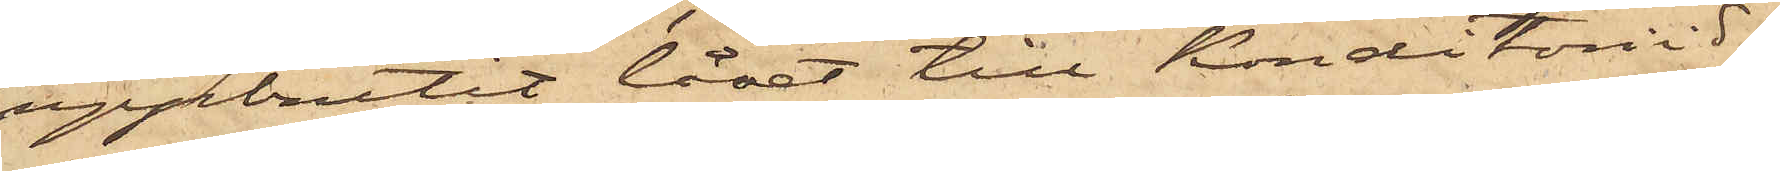uppbrutit låset till Konditoriid¬
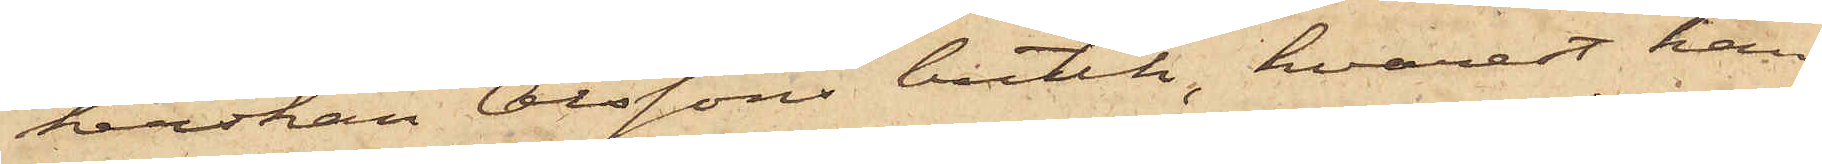kerskan Olssons butik, hvarest han
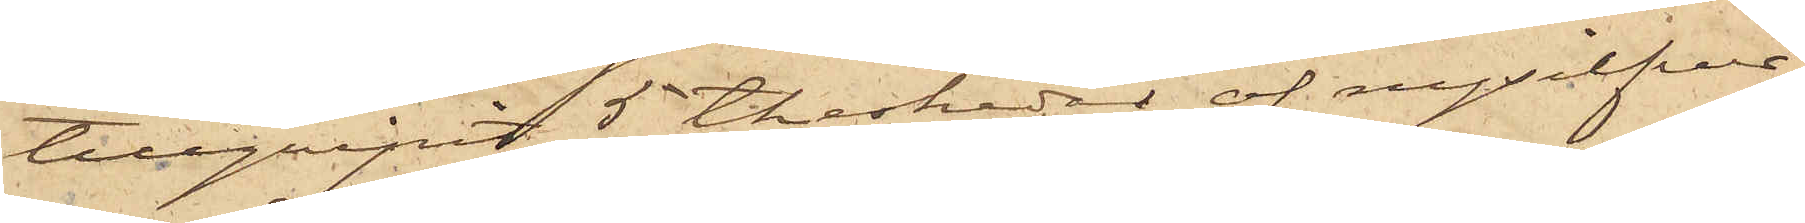tillgripit 5 theskeder af nysilfver;
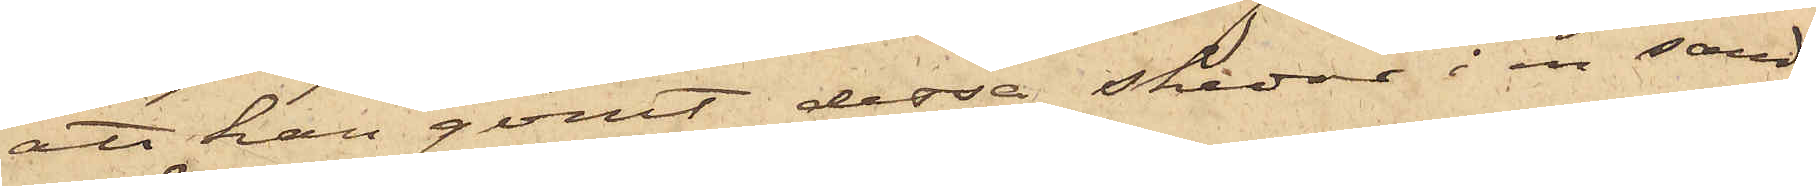att han gömt dessa skedar i en sand¬
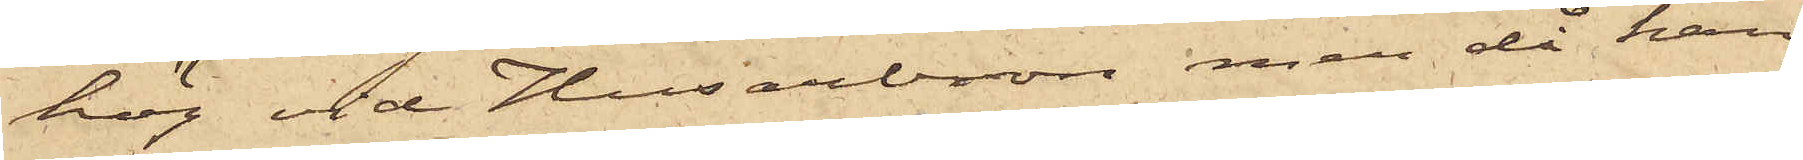hög vid Husarbron men då han
